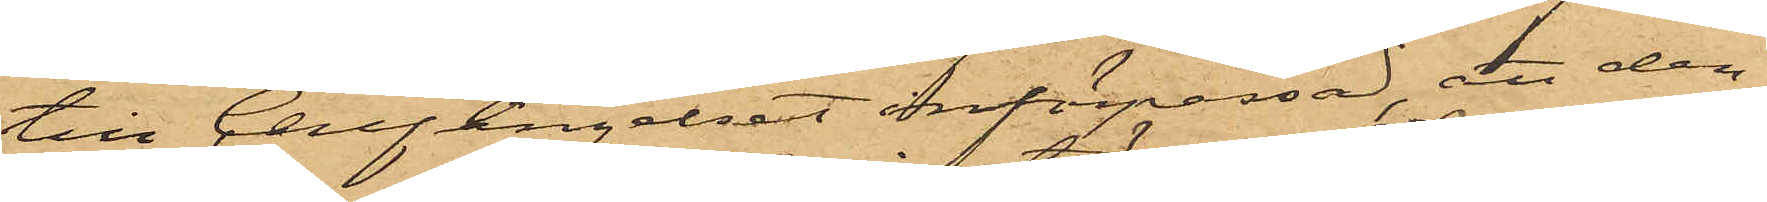till Cellfängelset införpassad, att den¬
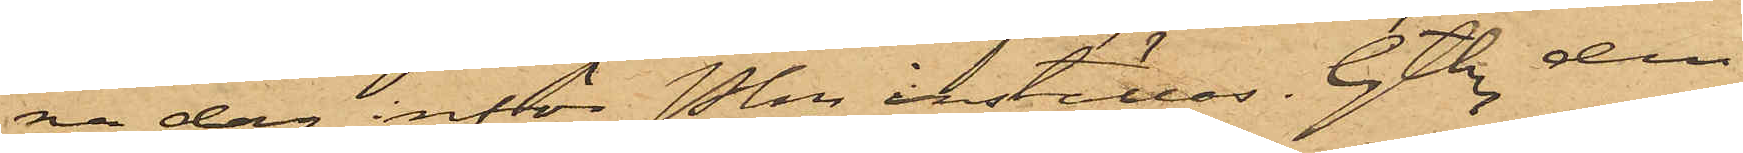na dag inför Pkn inställas. Gtbg den
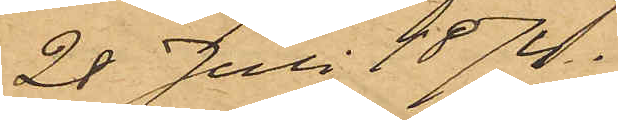28 Juli 1874.
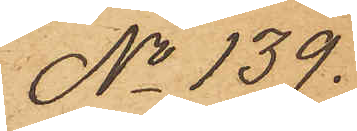No 139.
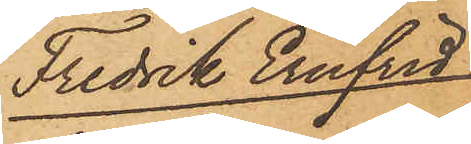Fredrik Ernfrid
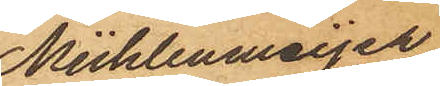Mühlenmeijer
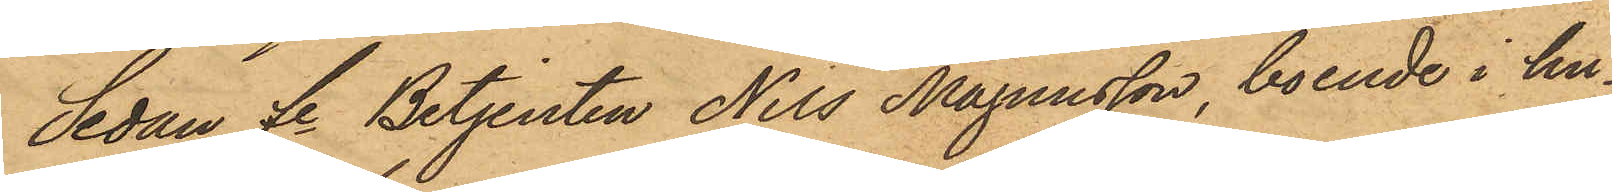Sedan Fe Betjenten Nils Magnusson, boende i hu¬
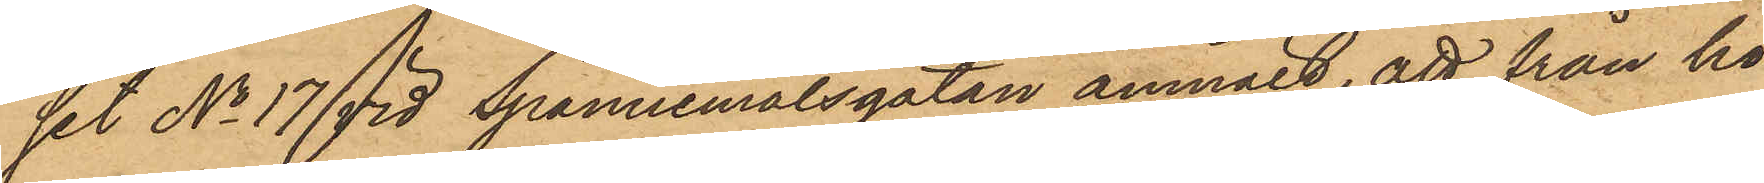set No 17 vid Spannmålsgatan anmält, att från ho¬
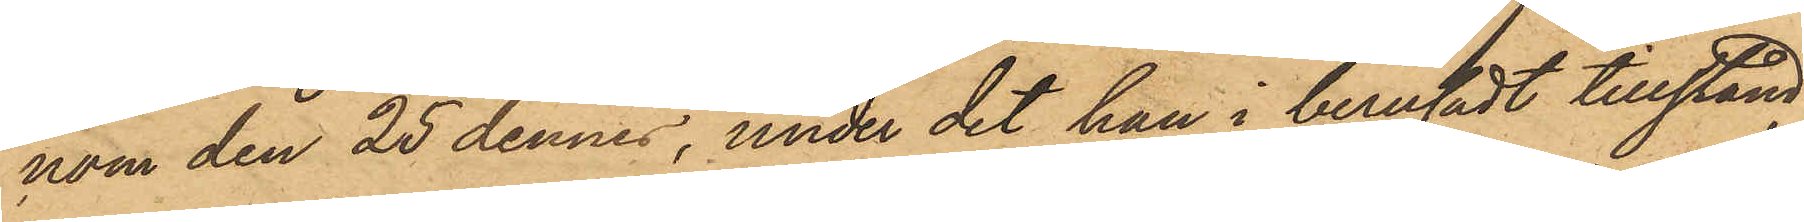nom den 25 dennes, under det han i berusadt tillstånd
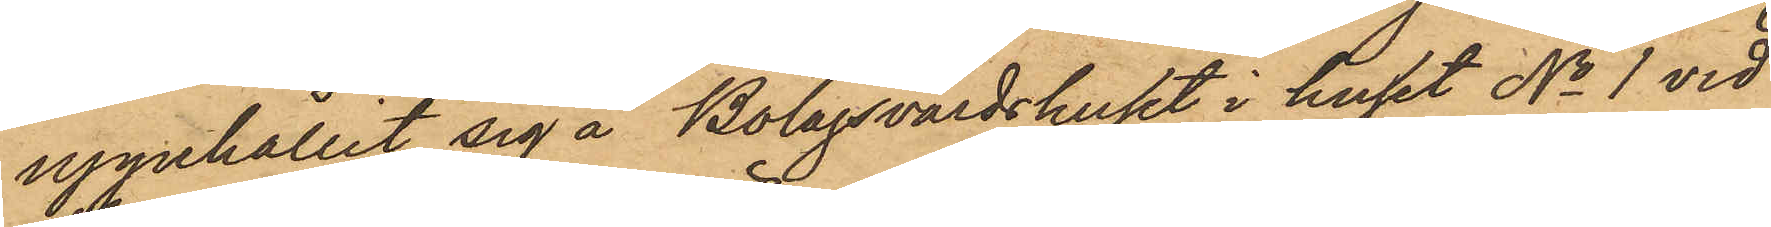uppehållit sig å Bolagsvärdshuset i huset No 1 vid
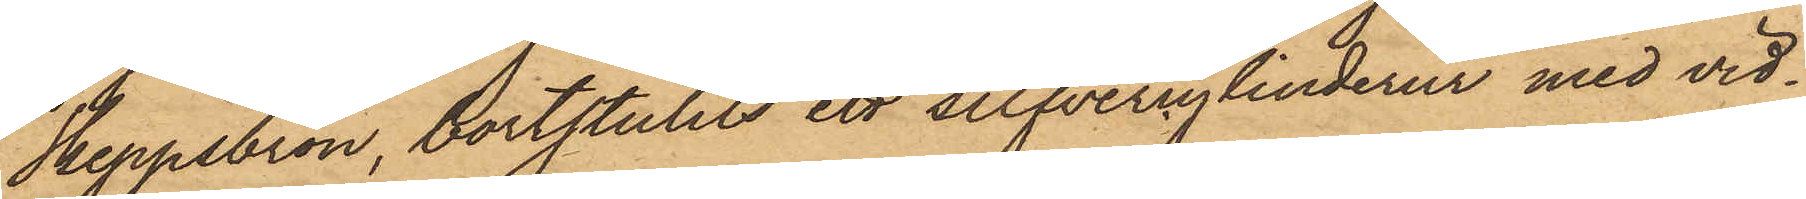Skeppsbron, bortstulits ett silfvercylinderur med vid¬
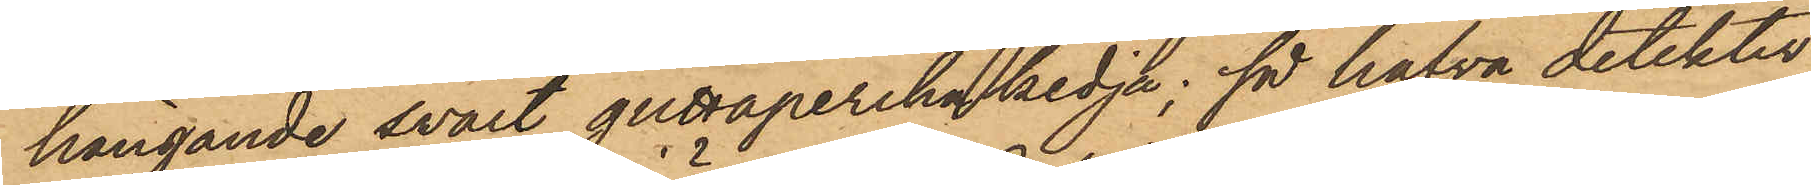hängande svart guttaperkakedja; så hafva detektiv¬
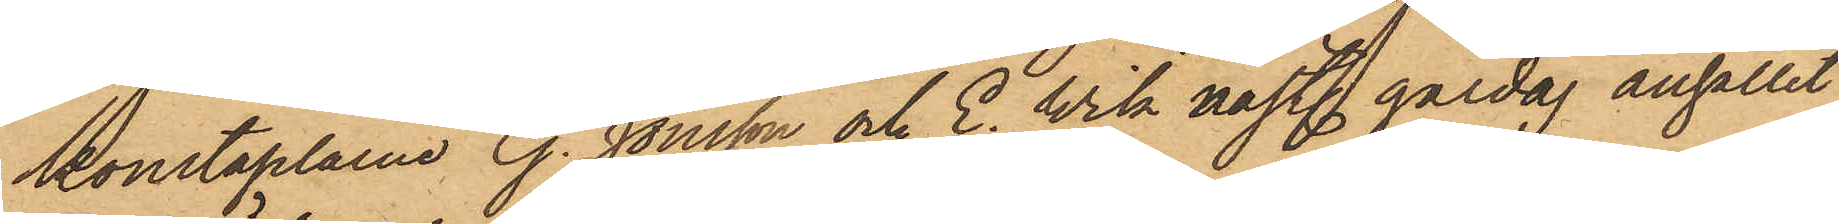konstaplarne G. Jönsson och E. Wik nästl. gårdag anhållit
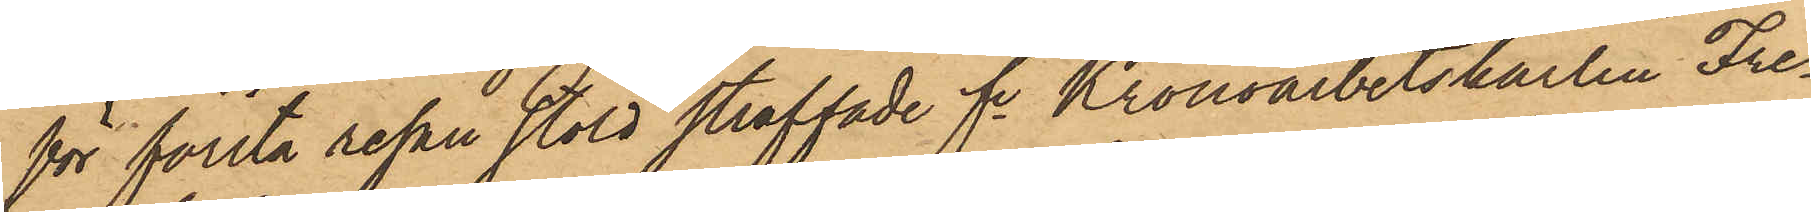för första resan stöld straffade Fe Kronoarbetskarlen Fre¬
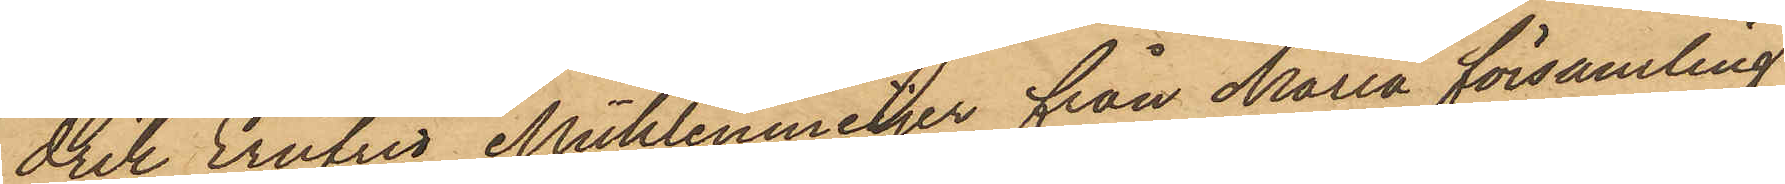drik Ernfrid Mühlenmeijer från Maria församling
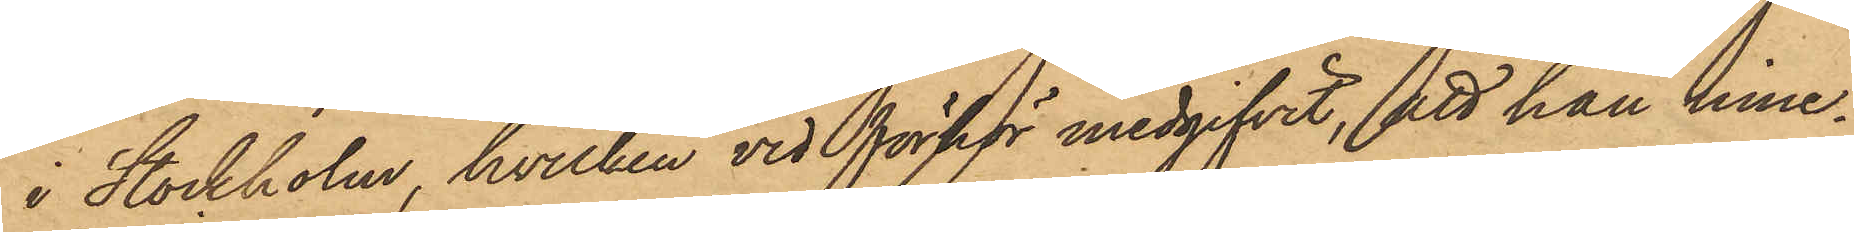i Stockholm, hvilken vid förhör medgifvit, att han inne¬
